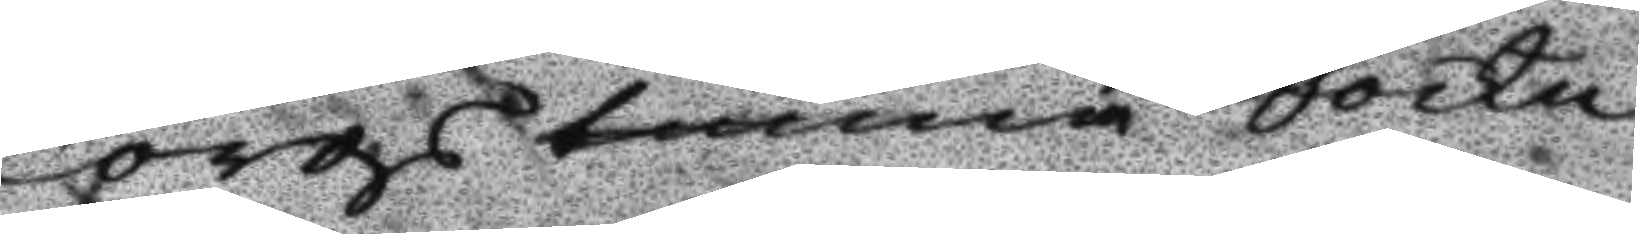Torgstunna Sockn
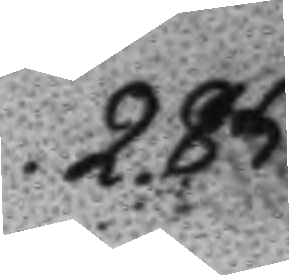285.
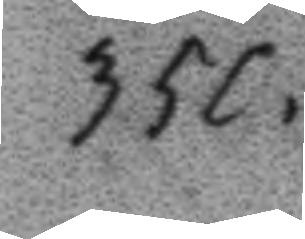350.
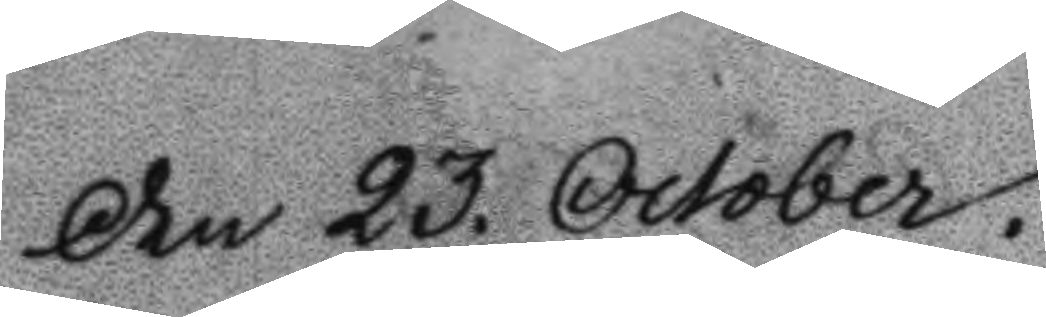Den 23. October.
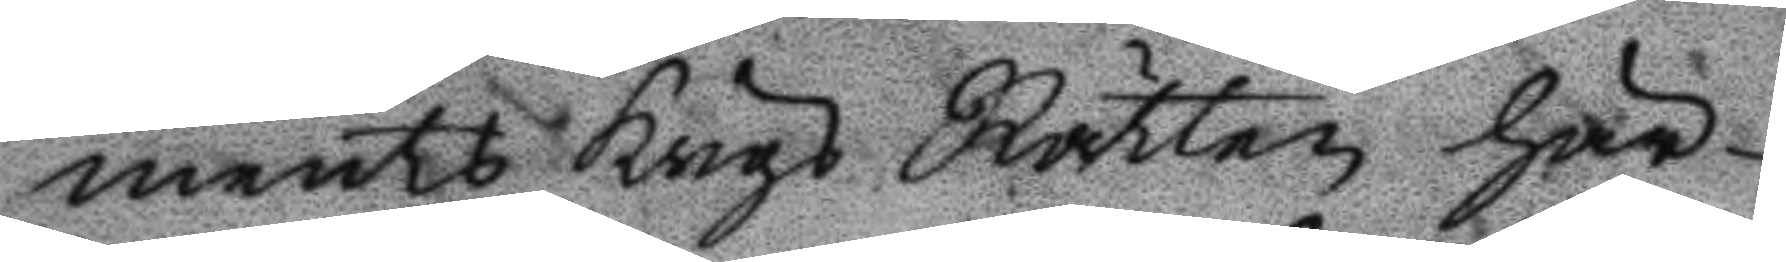ments Krigs Rätten här¬
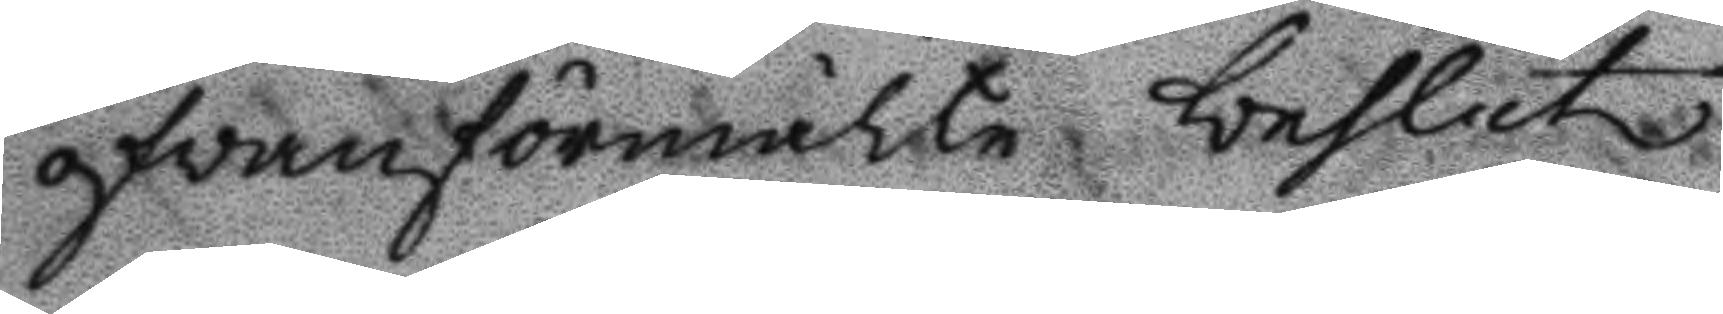ogvan förmälte beslut
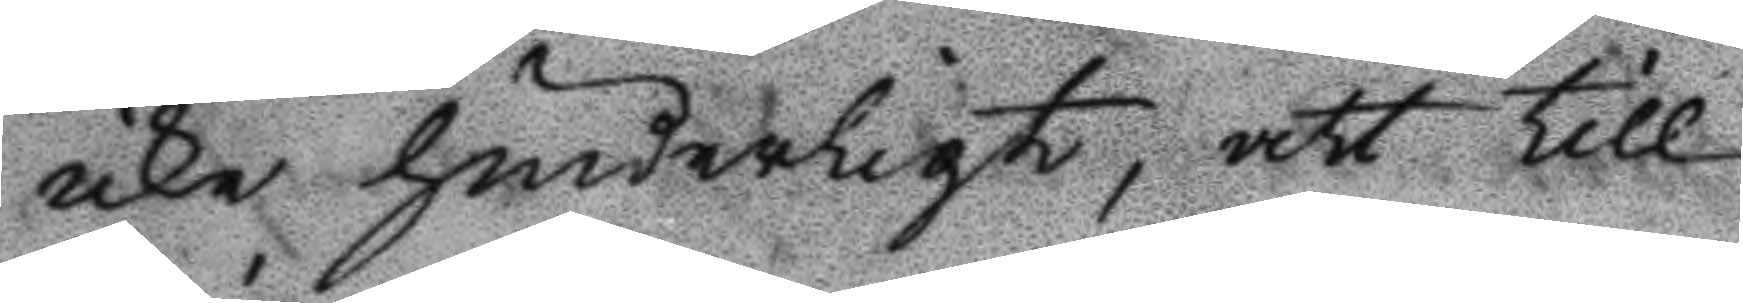icke hinderligt, att till
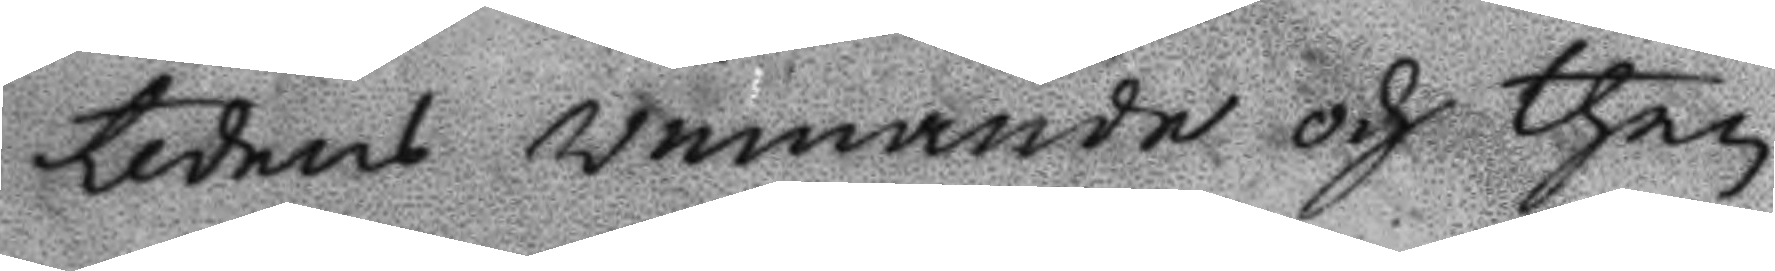tidens winnande och then
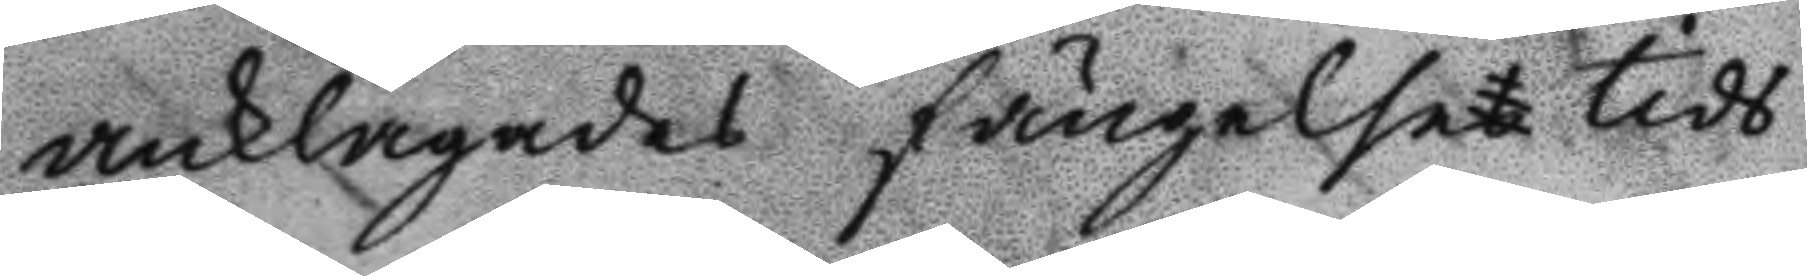anklagades fängelse tids
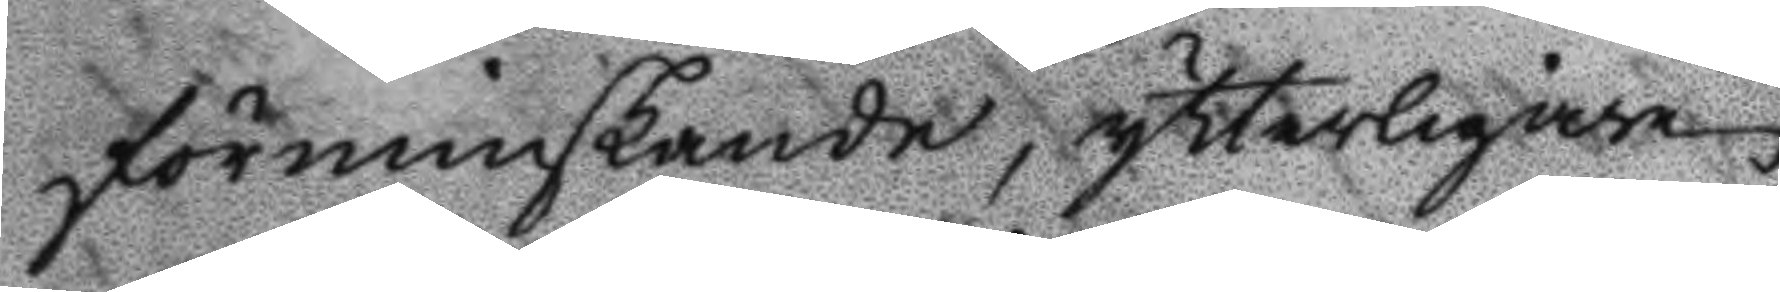förminskande, ytterligare
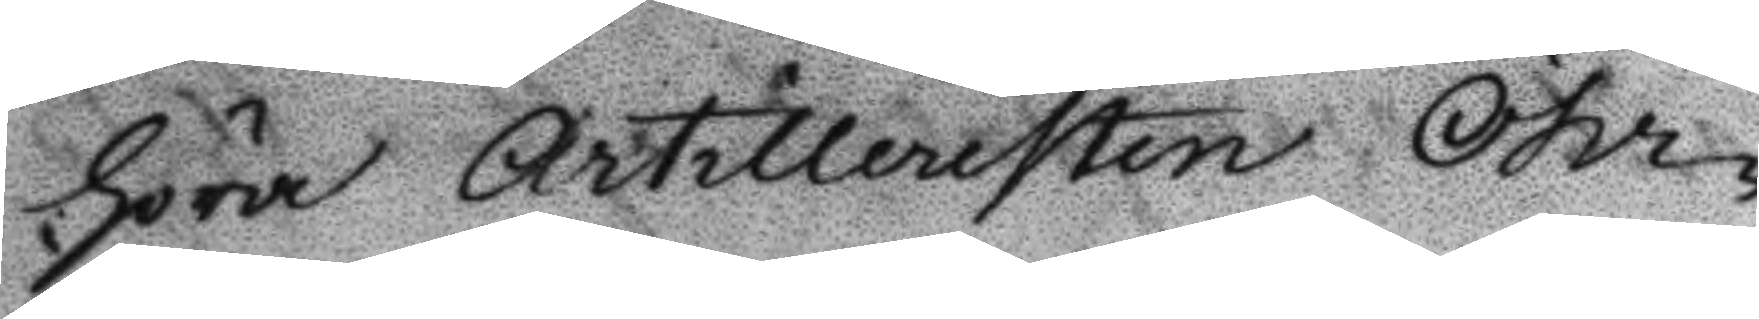höra Artilleristen Öhr¬
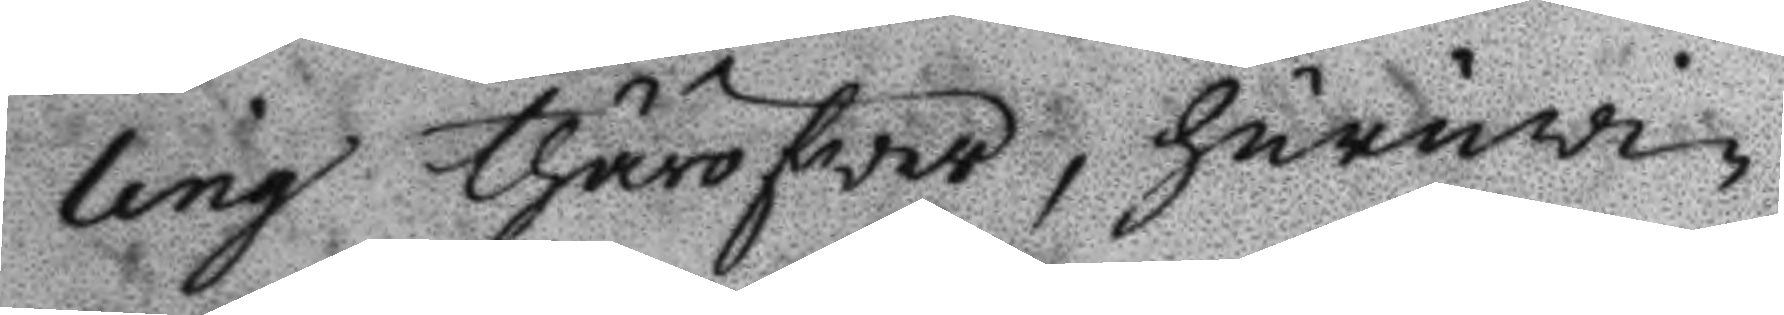ling tjäröfwer, huruwi¬
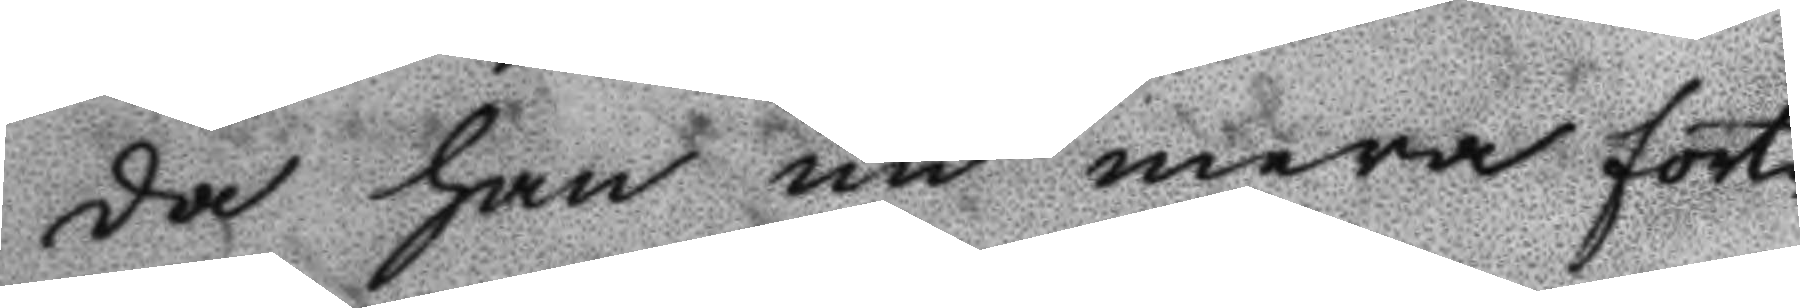da han nu mera fort¬
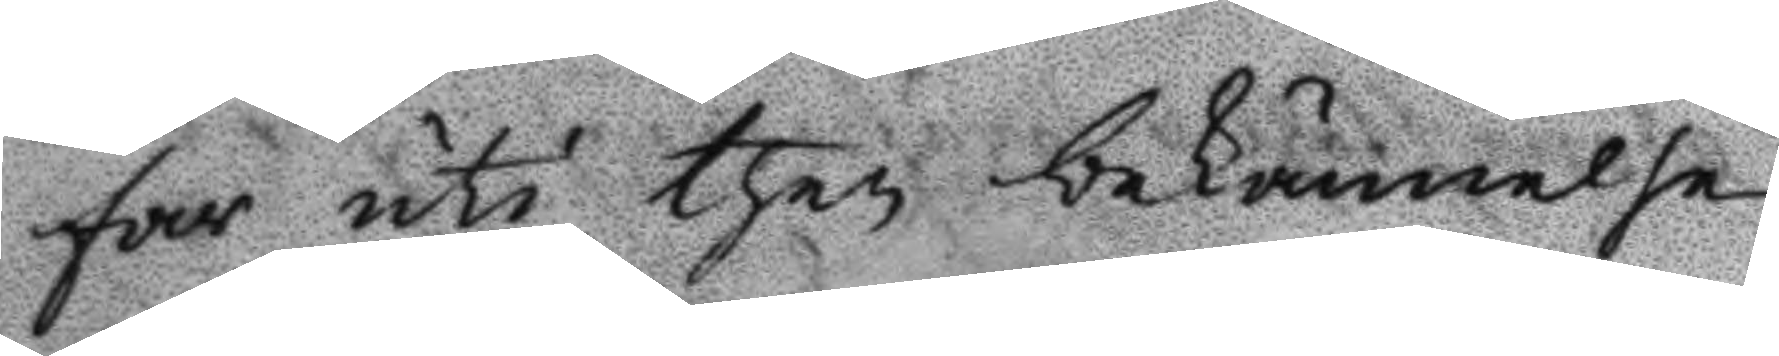far uti then bekännelse
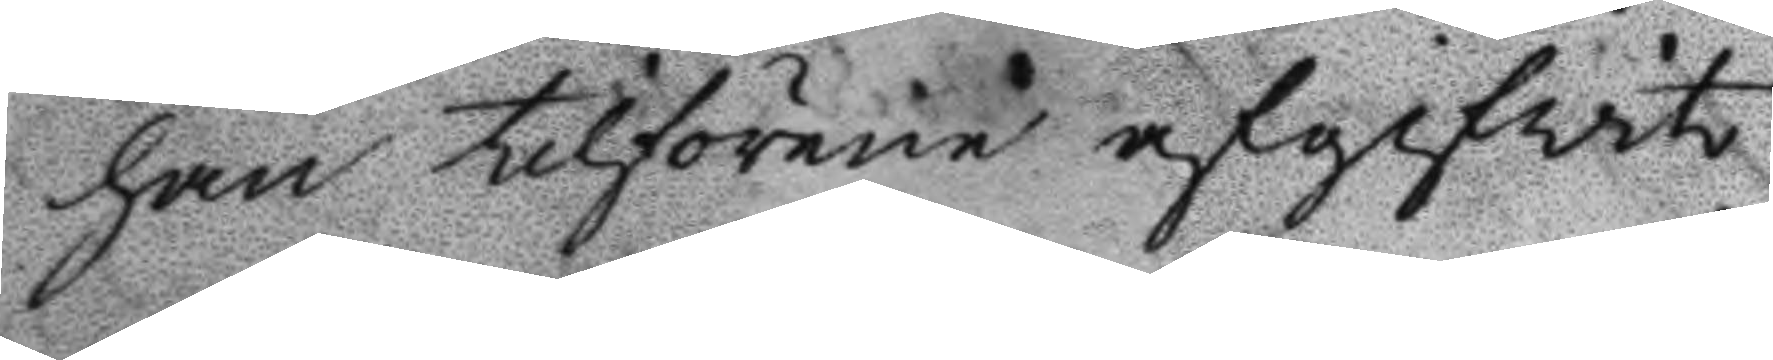han tilförene afgifwit
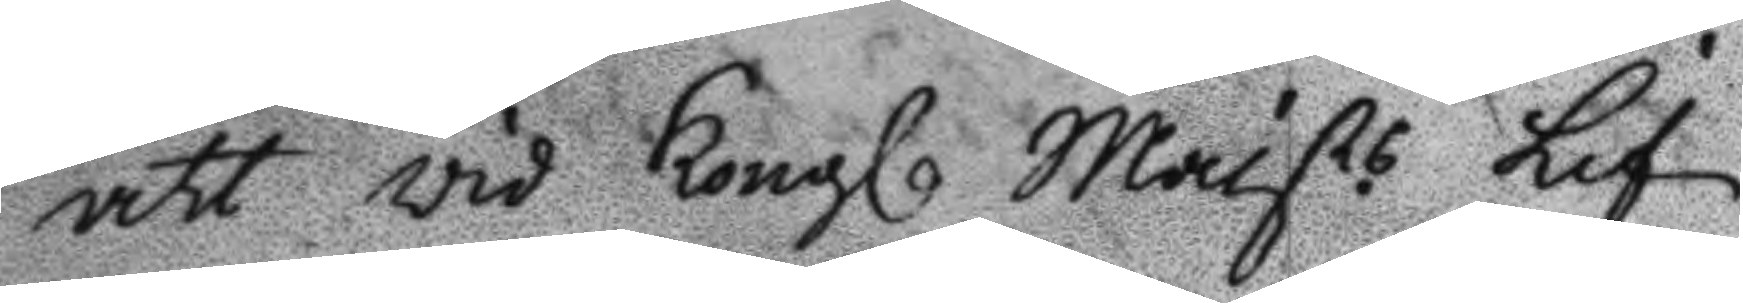att wid Kongl. Maists. Lif
